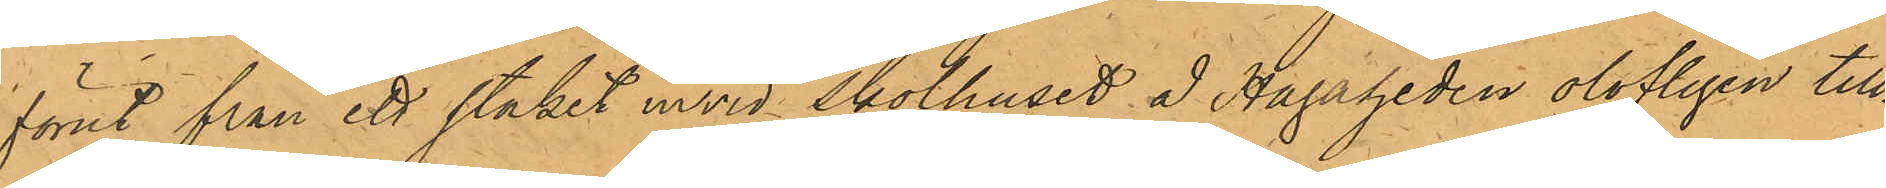förut från ett staket invid Skolhuset å Hagaheden olofligen till¬
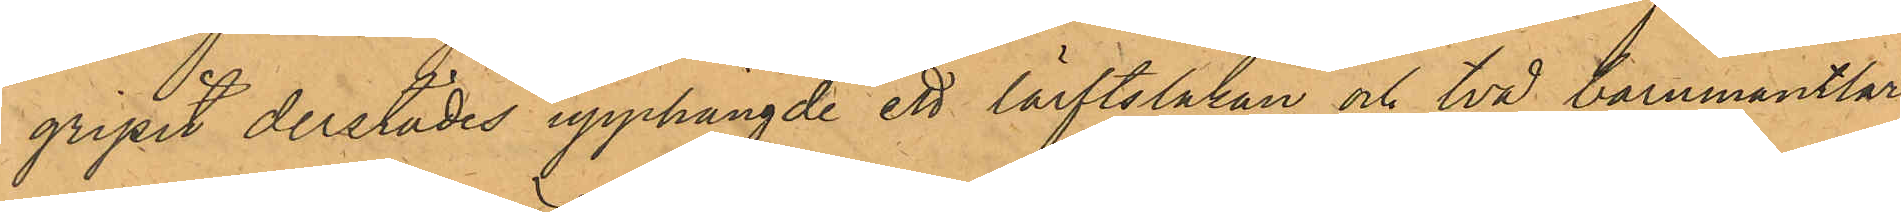gripit derstädes upphängde ett lärftslakan och två barnmantlar
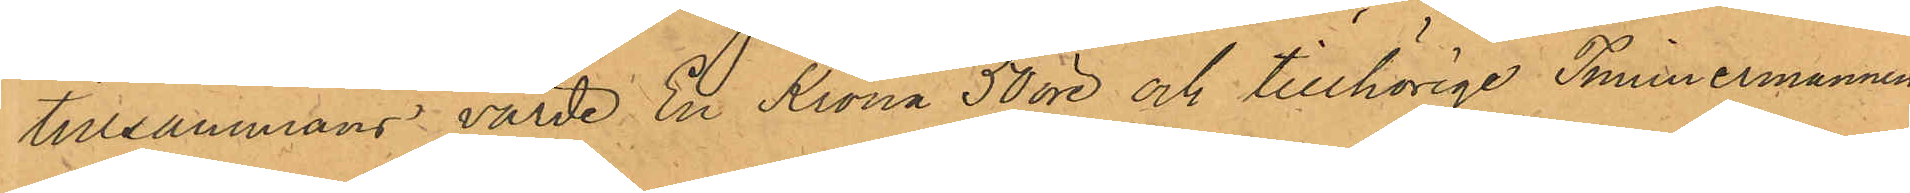tillsammans värde En Krona 50 öre och tillhörige Timmermannen
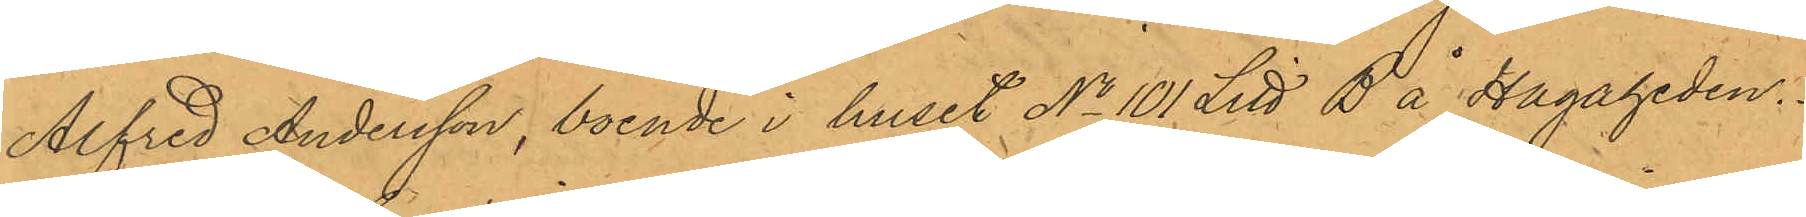Alfred Andersson, boende i huset No 101 Litt B å Hagaheden.
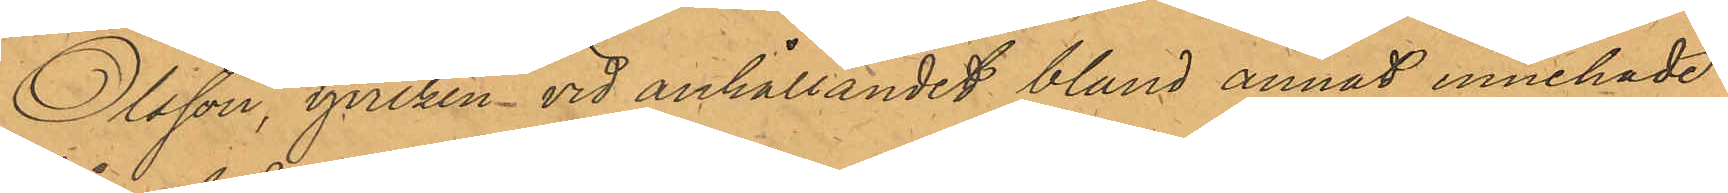Olsson, hvilken vid anhållandet bland annat innehade
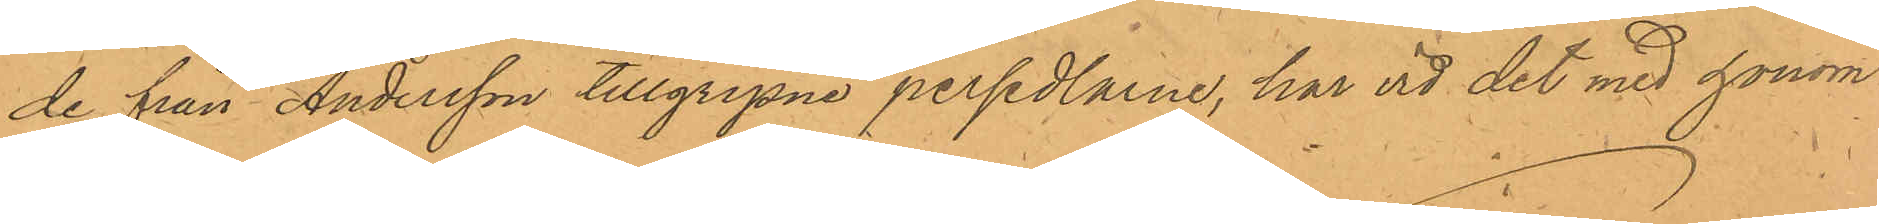de från Andersson tillgripne persedlarne, har vid det med honom
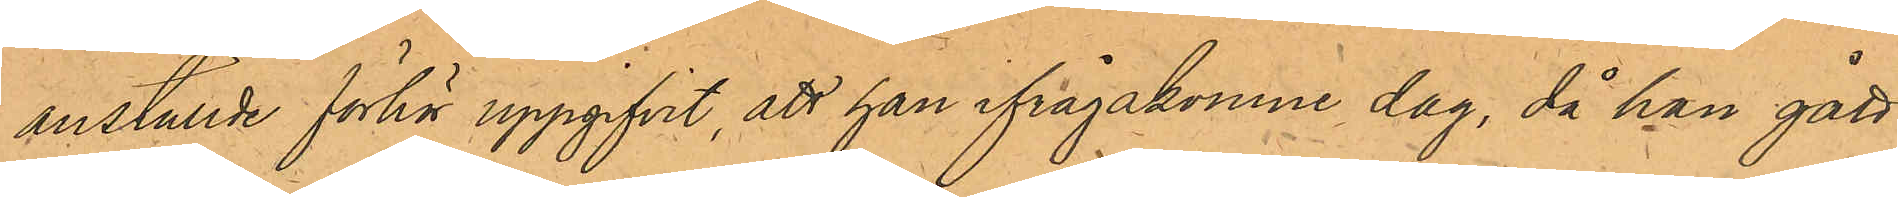anställde förhör uppgifvit, att han ifrågakomne dag, då han gått
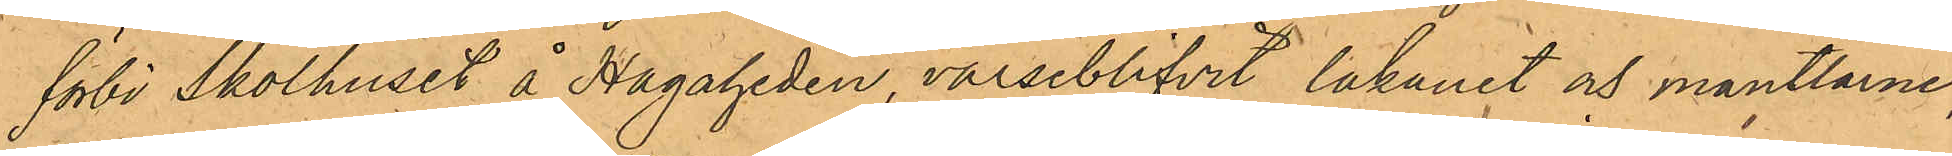förbi Skolhuset å Hagaheden, varseblifvit lakanet och mantlarne,
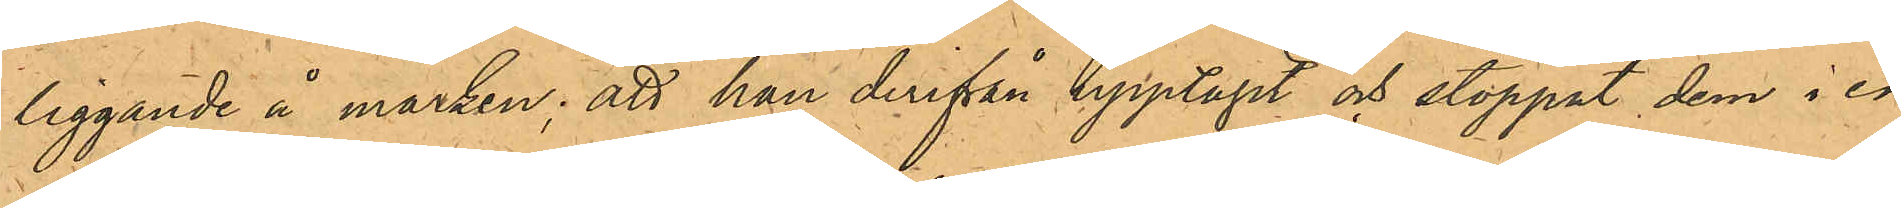liggande å marken; att han derifrån upptagit och stoppat dem i en
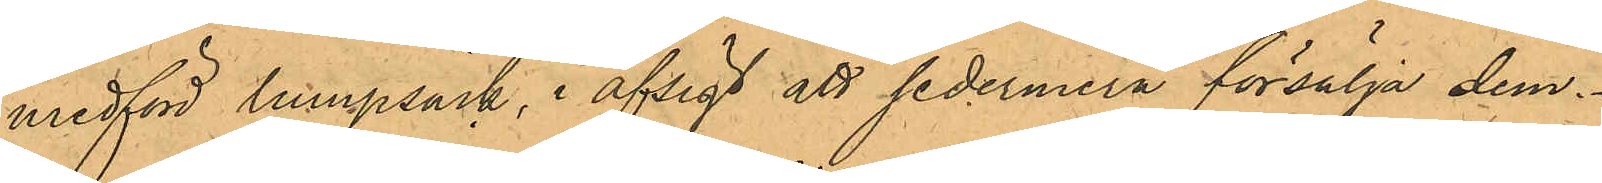medförd lumpsäck, i afsigt att sedermera försälja dem.
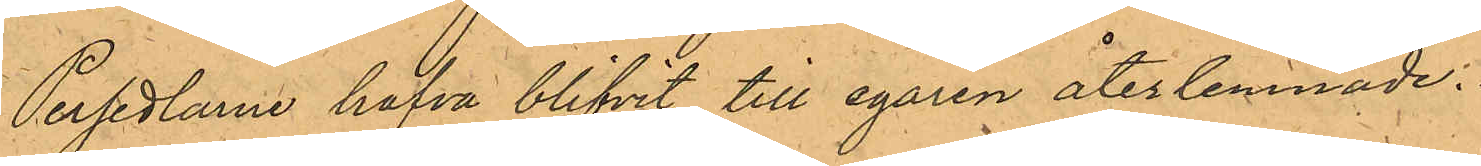Persedlarne hafva blifvit till egaren återlemnade.
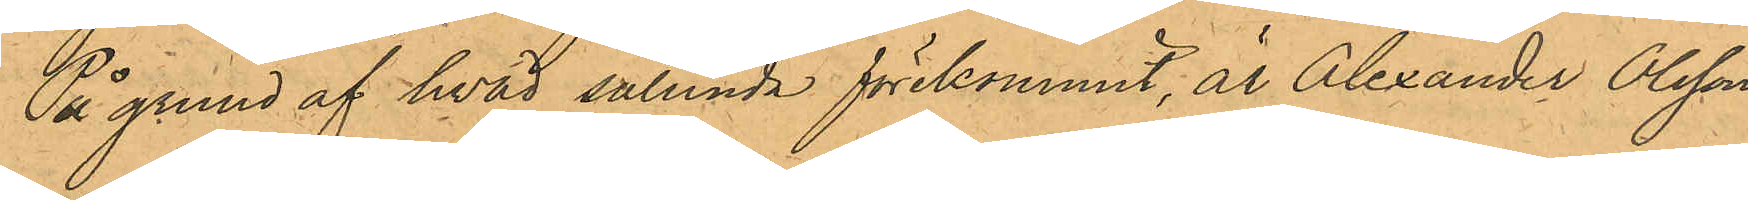På grund af hvad sålunda förekommit, är Alexander Olsson
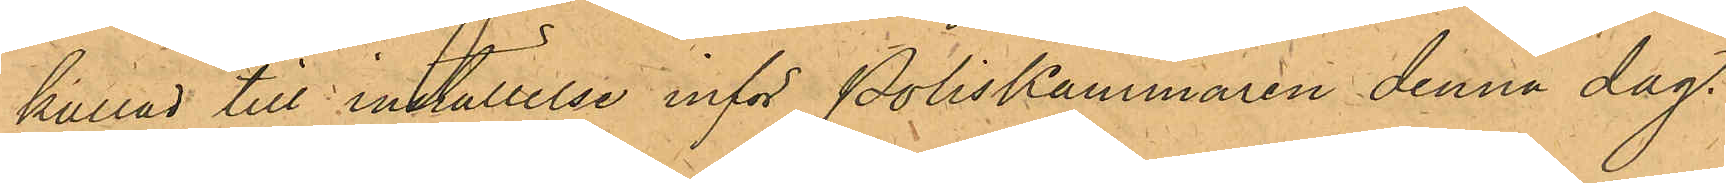kallad till inställelse inför Poliskammaren denna dag.
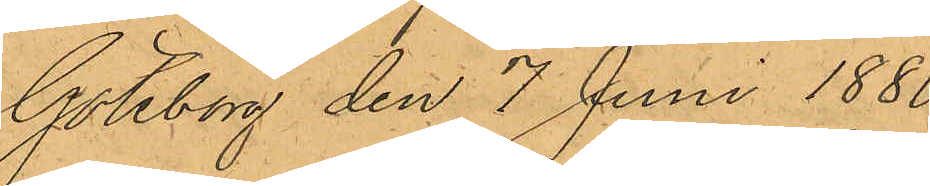Göteborg den 7 Juni 1880.
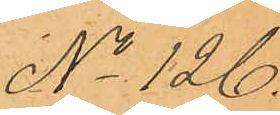No 126.
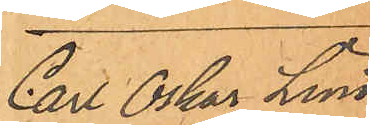Carl Oskar Lund¬
